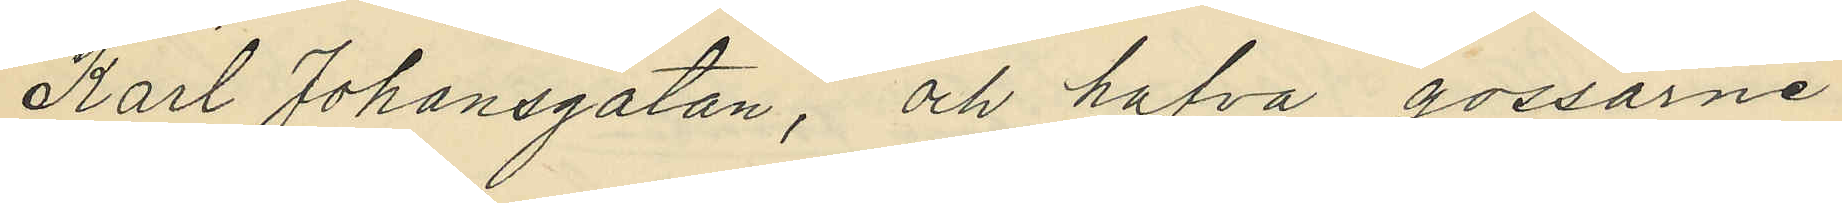Karl Johansgatan, och hafva gossarne
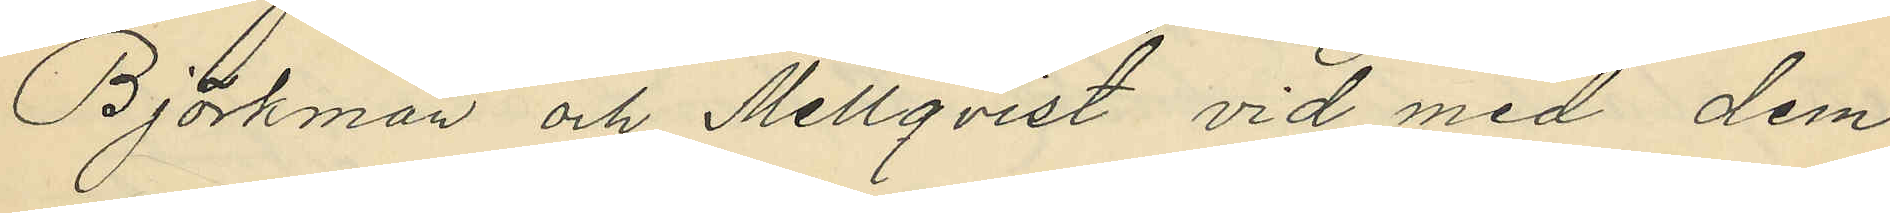Björkman och Mellqvist vid med dem
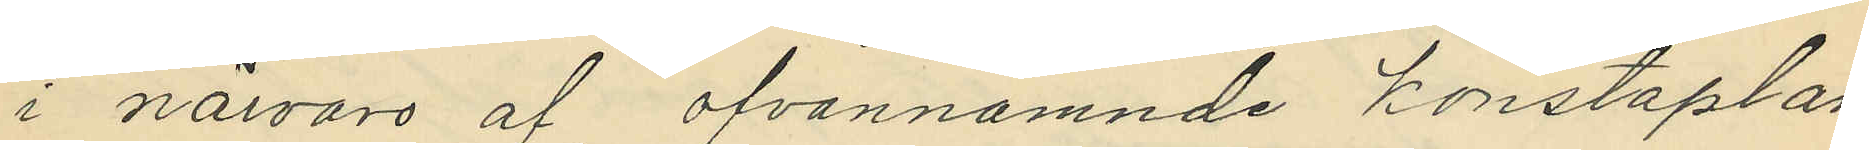i närvaro af ofvannämnde konstaplar
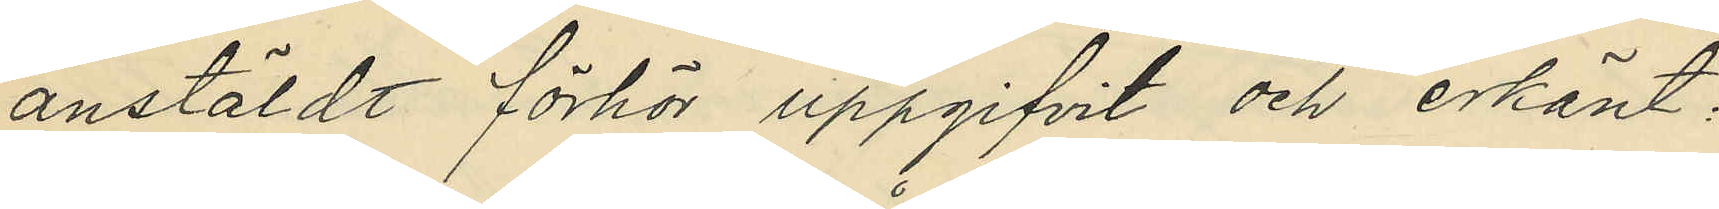anstäldt förhör uppgifvit och erkänt:
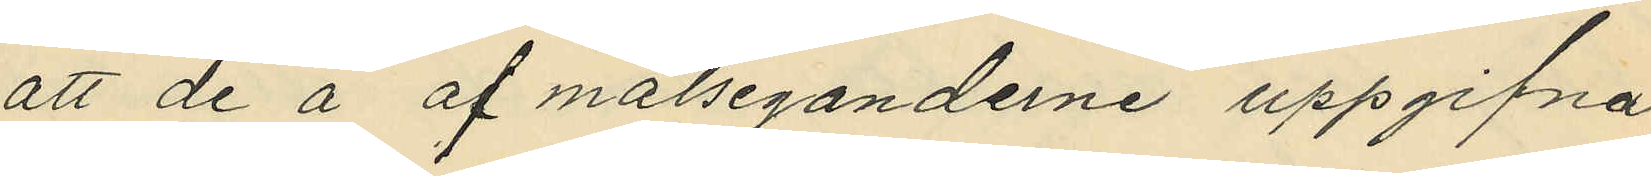att de å af målseganderne uppgifna
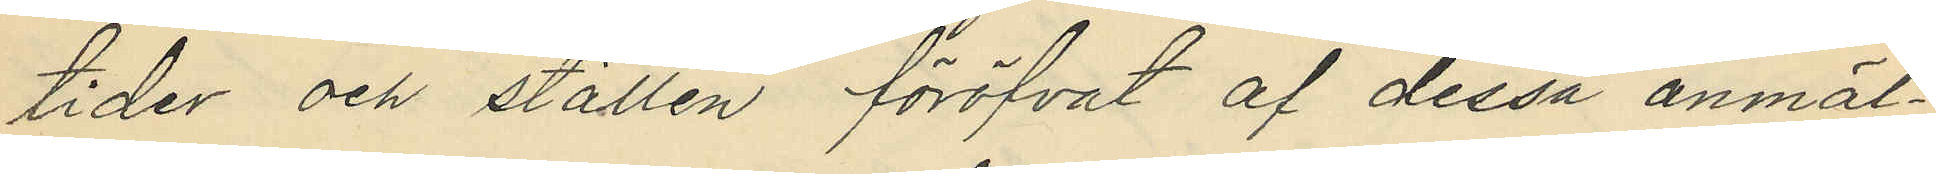tider och ställen föröfvat af dessa anmäl¬
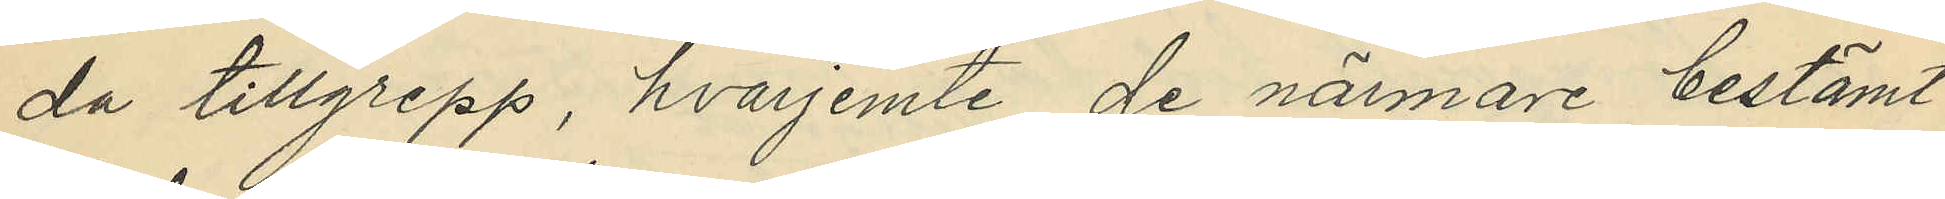da tillgrepp, hvarjemte de närmare bestämt
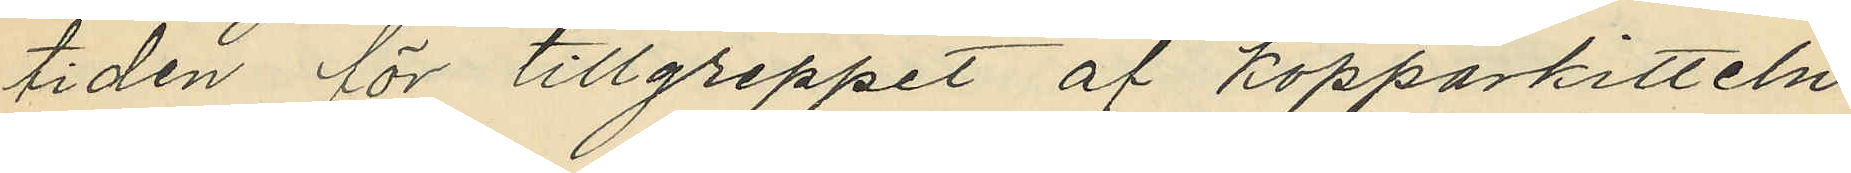tiden för tillgreppet af kopparkitteln
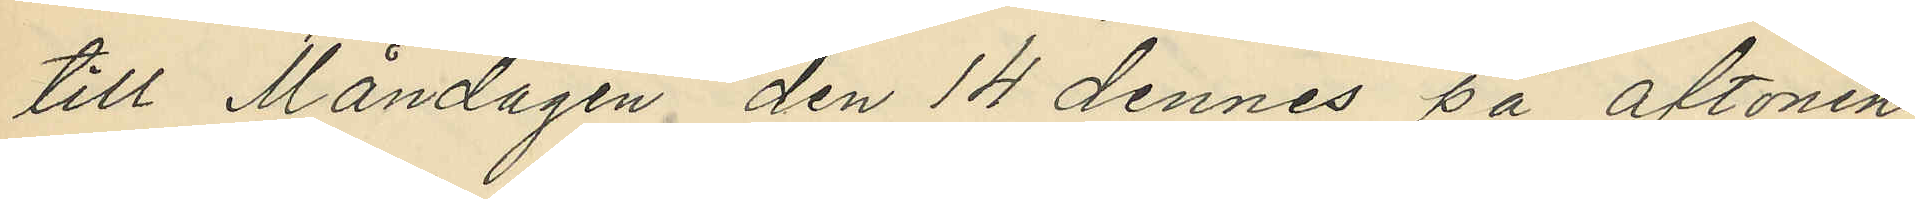till Måndagen den 14 dennes på aftonen
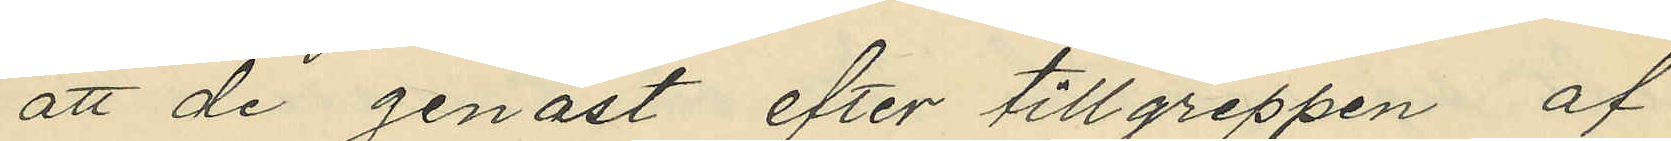att de genast efter tillgreppen af
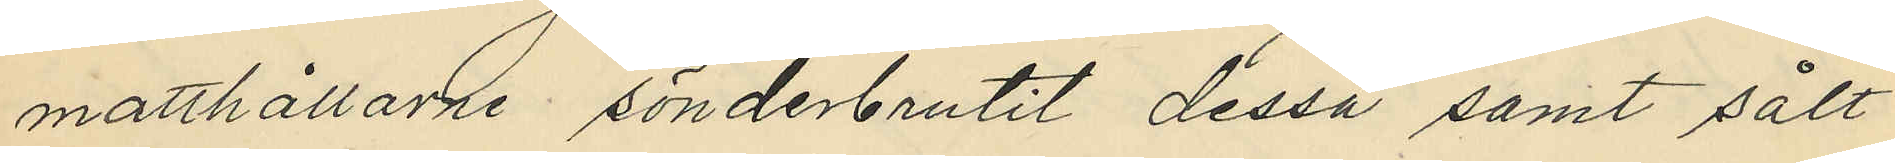matthållarne sönderbrutit dessa samt sålt
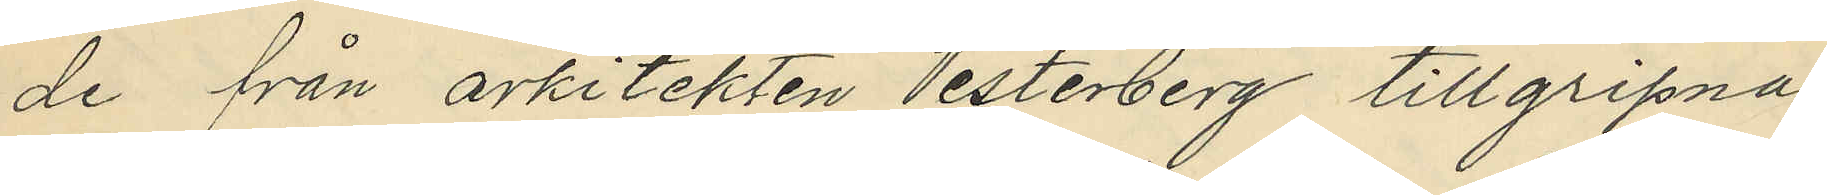de från arkitekten Vesterberg tillgripna
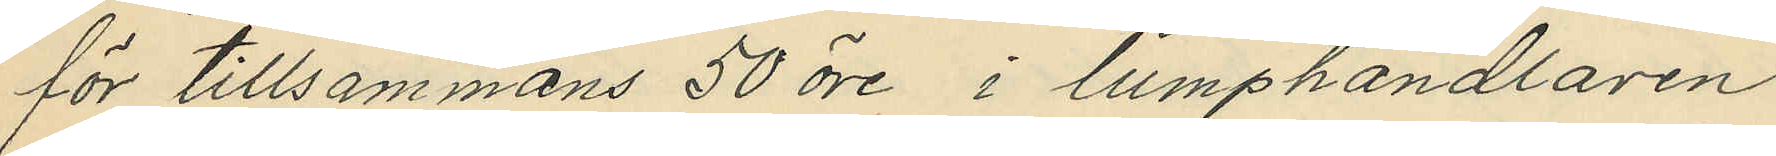för tillsammans 50 öre i lumphandlaren
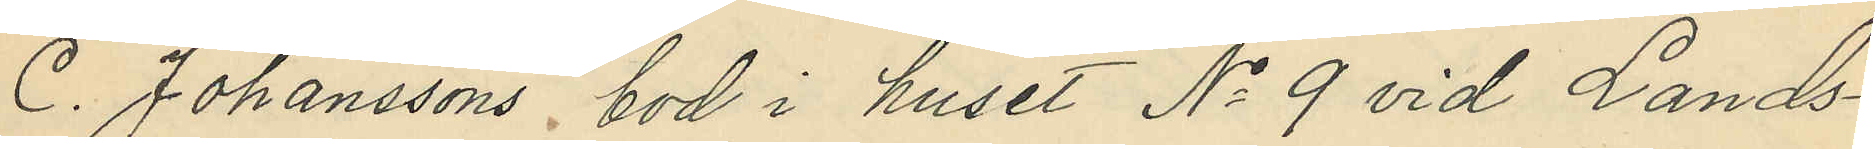C. Johanssons bod i huset No 9 vid Lands¬
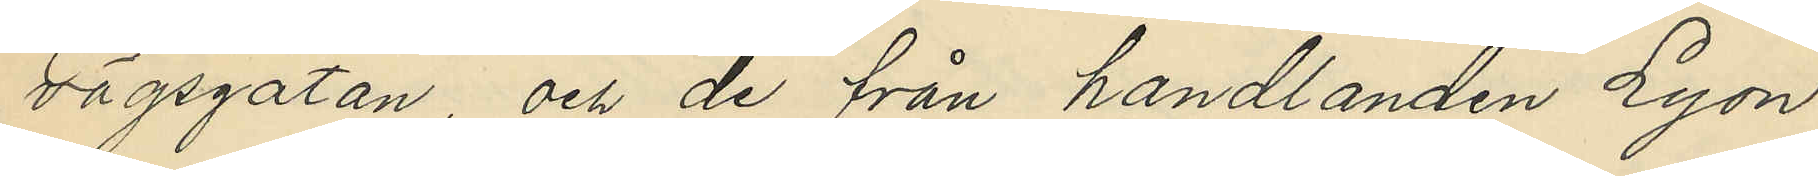vägsgatan, och de från handlanden Lyon
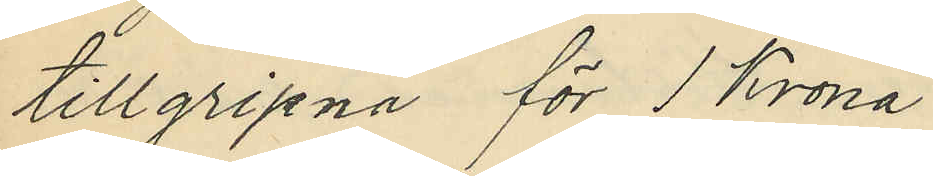tillgripna för 1 Krona
